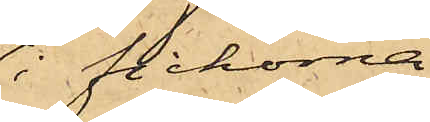i fickorna
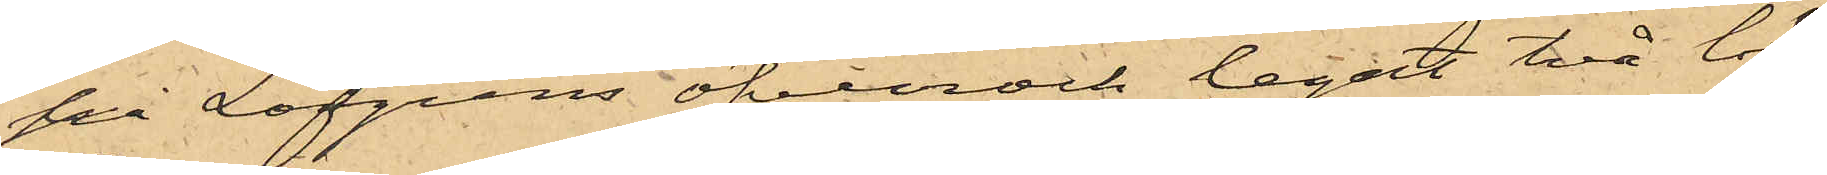på Löfgrens öfverrock legat två lös¬
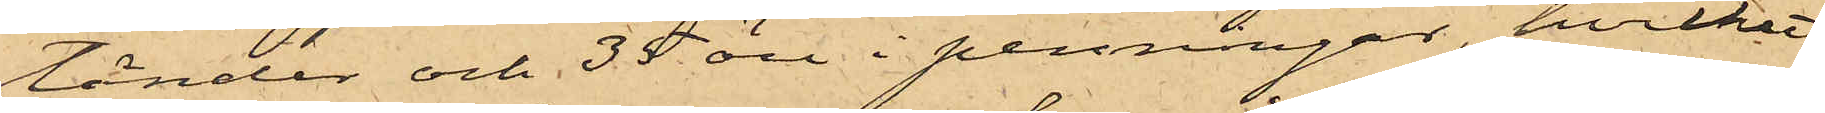tänder och 35 öre i penningar, hvilket
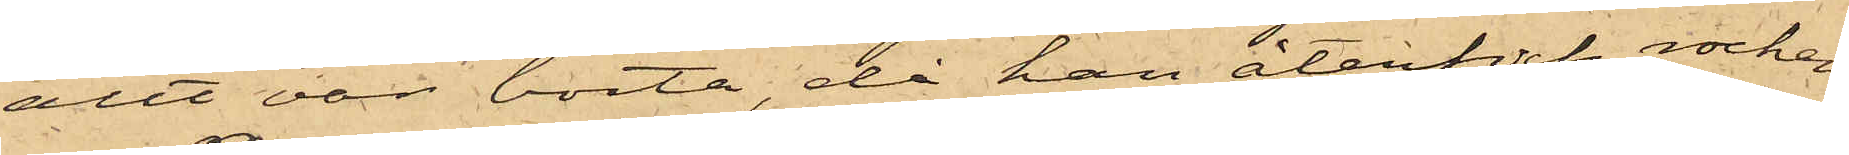allt var borta, då han återfick rocken
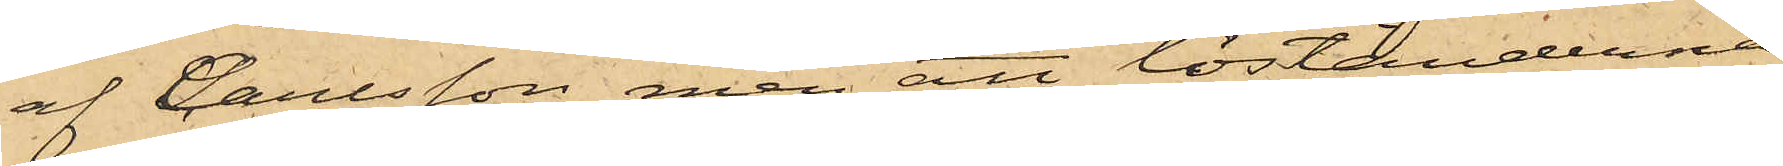af Carlsson, men att löständerna
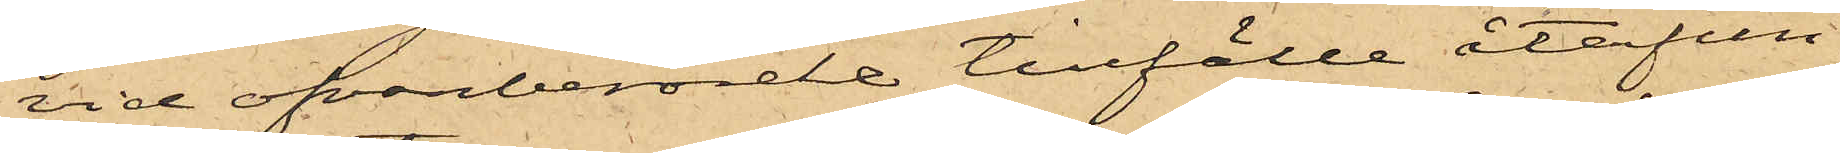vid ofvanberörde tillfälle återfun¬
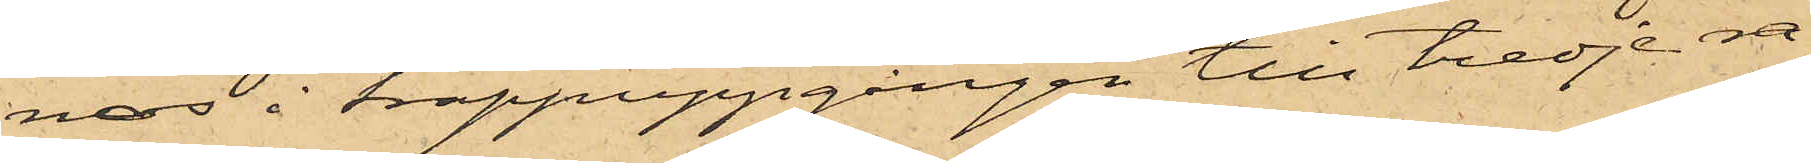nos i trappuppgången till tredje ra¬
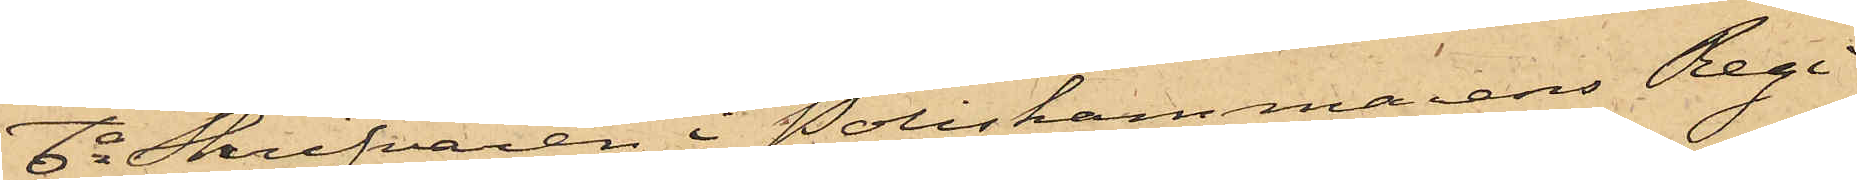6o Skrifvaren i Poliskammarens Regi¬
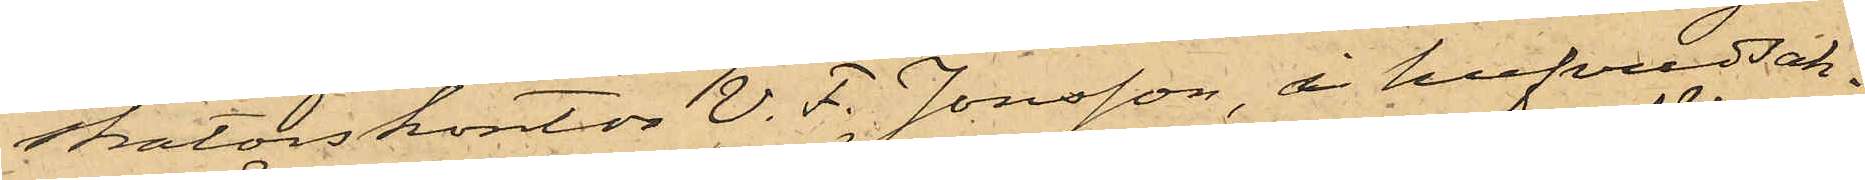statorskontor V. F. Jonsson, i hufvudsak¬
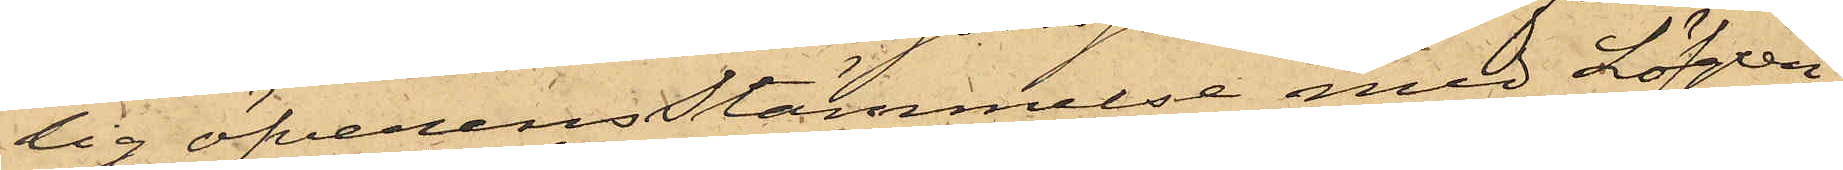lig öfverensstämmelse med Löfgren,
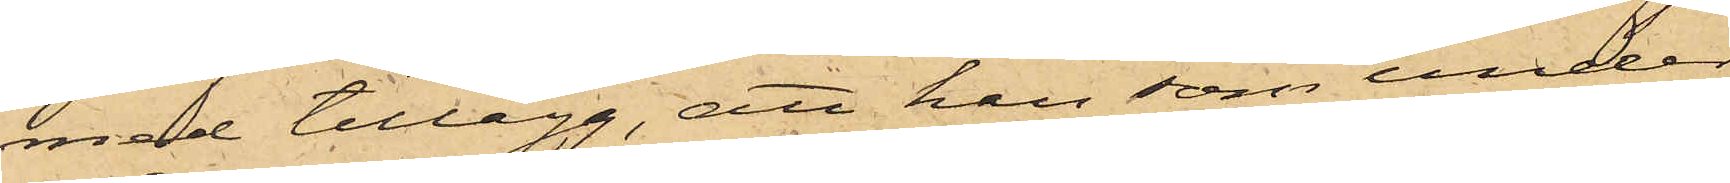med tillägg, att han som under
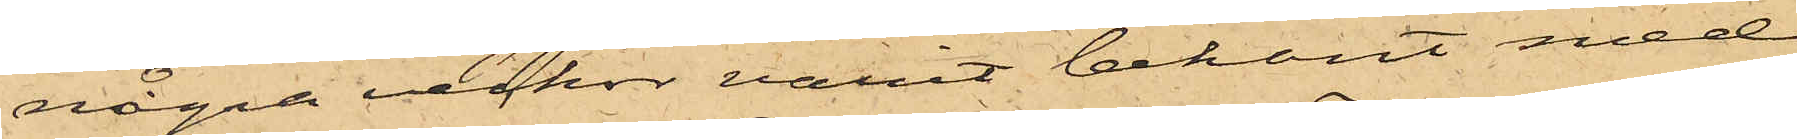några veckor varit bekant med
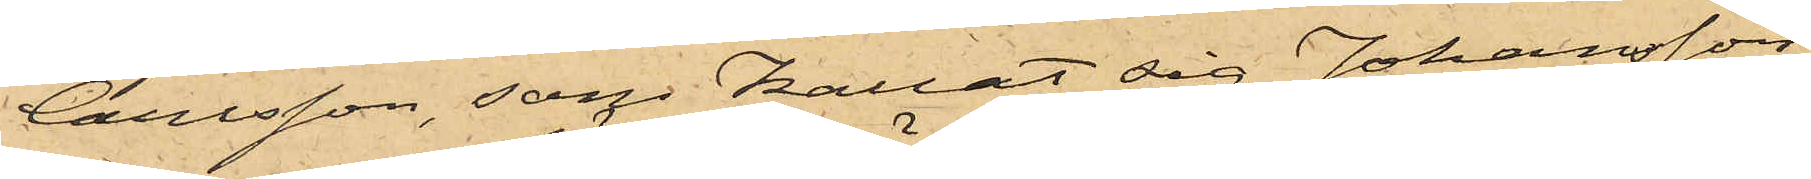Carlsson, som kallat sig Johansson
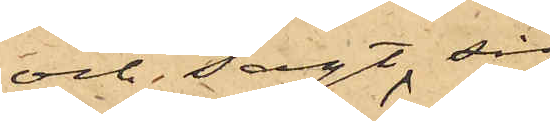och sagt sig
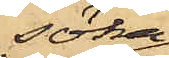söka
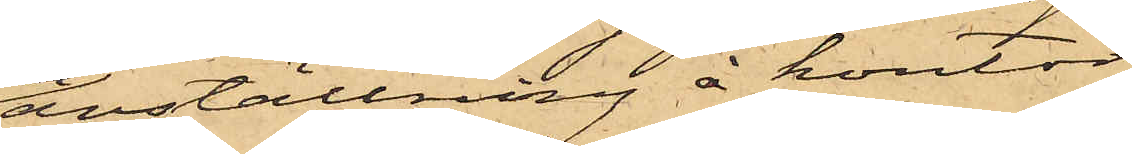anställning å kontor
